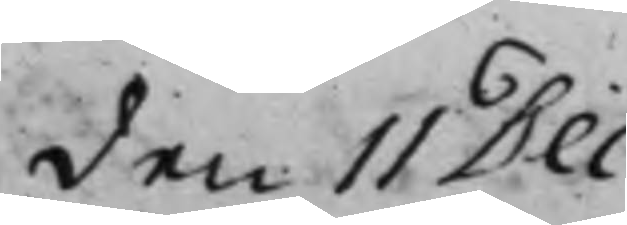den 11 Dec:
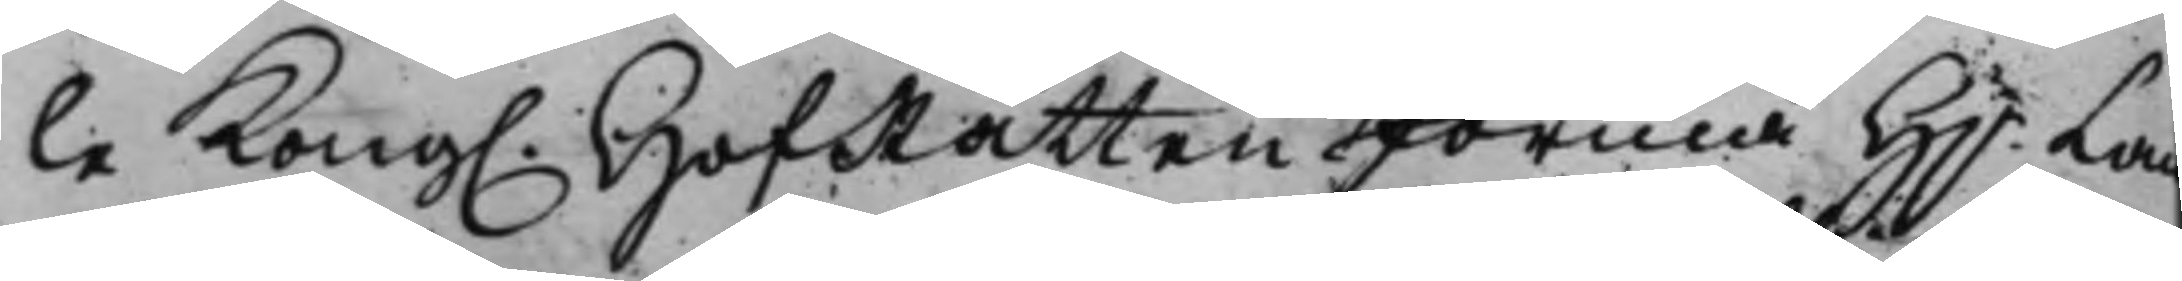le Kong. HofRätten förmå H.r Lan¬
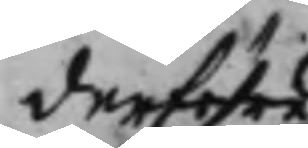derföre
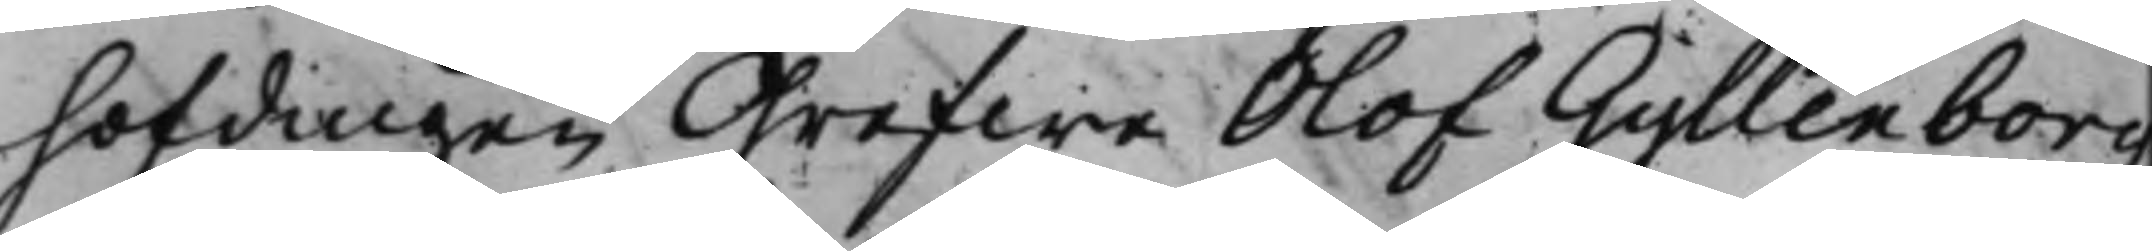höfdingen Grefwe Olof Gyllenborg
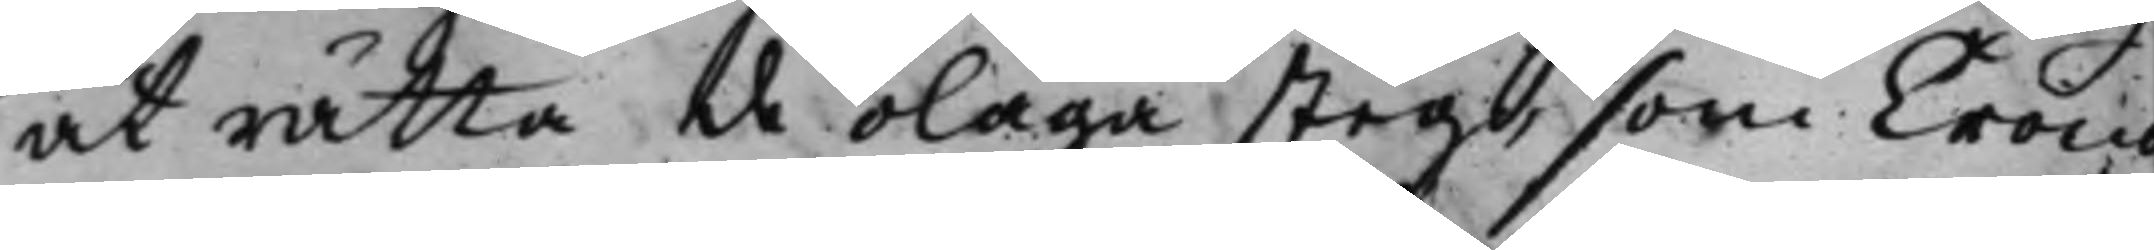at rätta de olaga steg, som Crono¬
